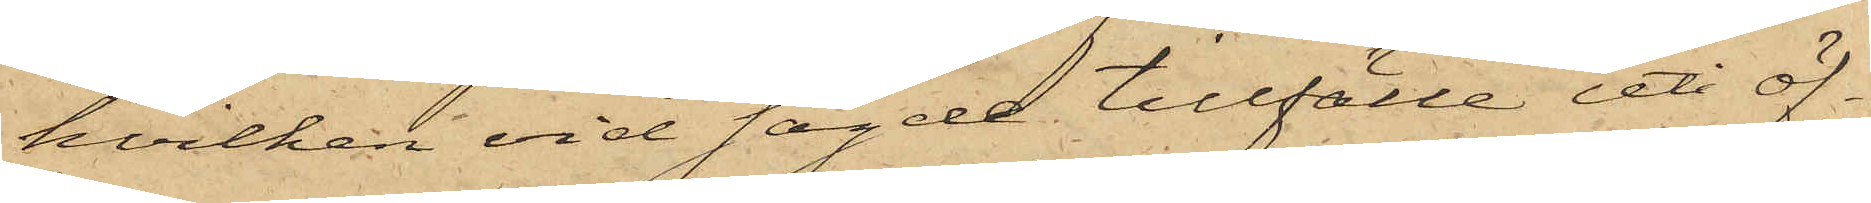hvilken vid sagde tillfälle uti öf¬
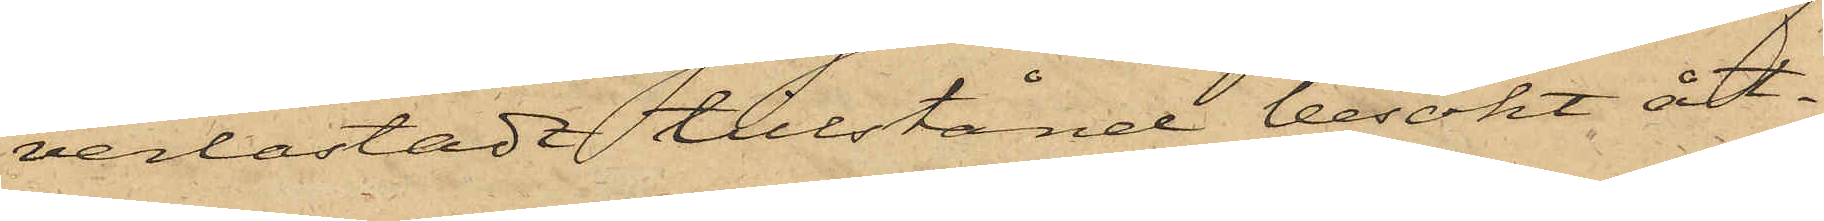verlastadt tillstånd besökt åt¬
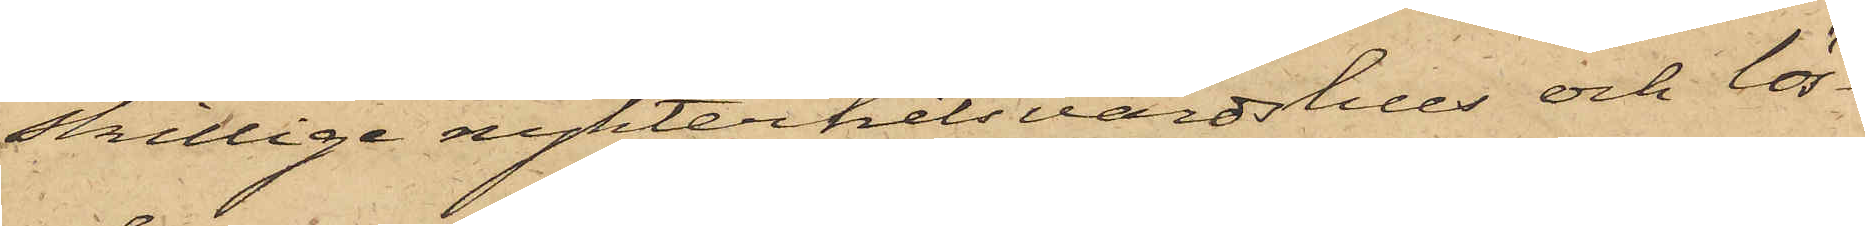skillige nykterhetsvärdshus och lös¬
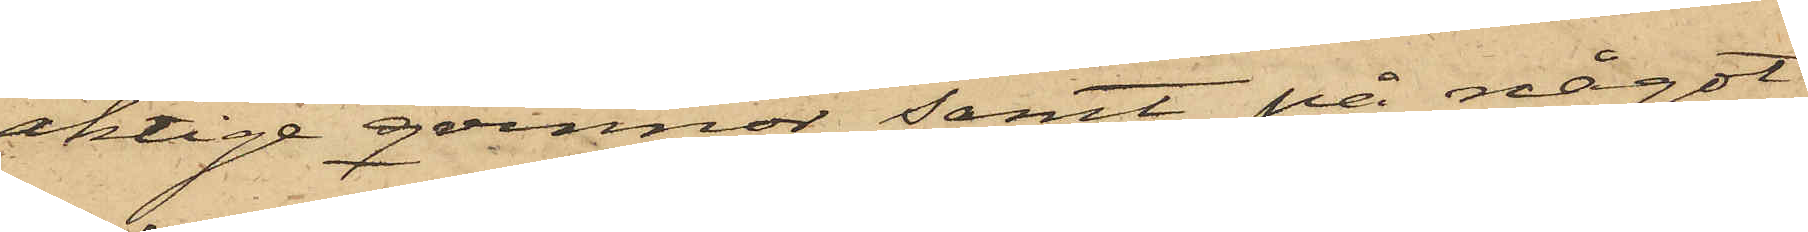aktige qvinnor samt på något
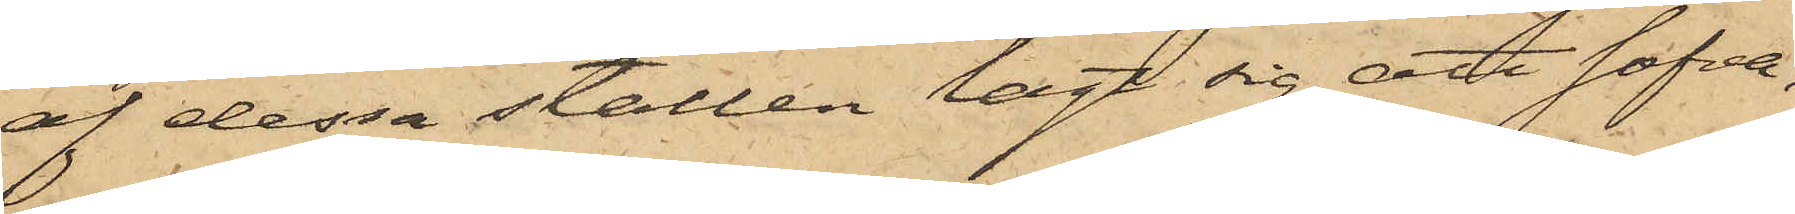af dessa ställen lagt sig att sofva,
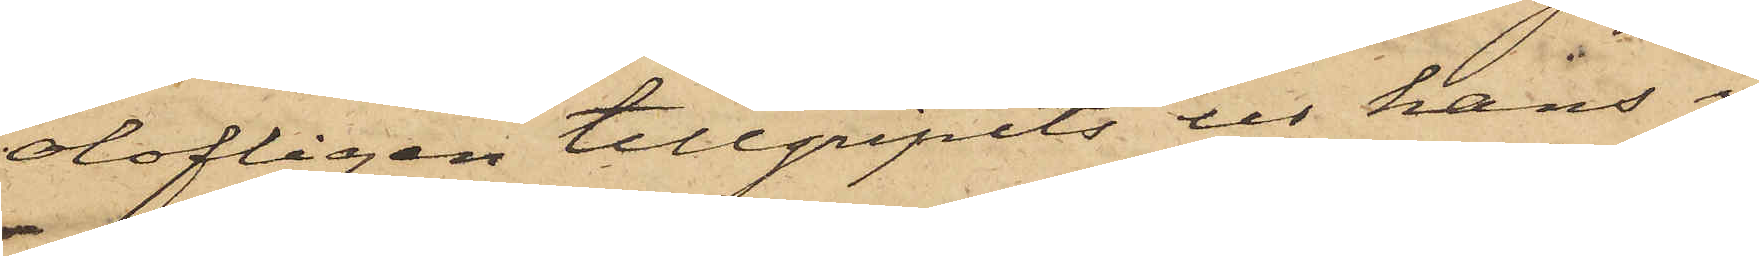olofligen tillgripits ur hans i
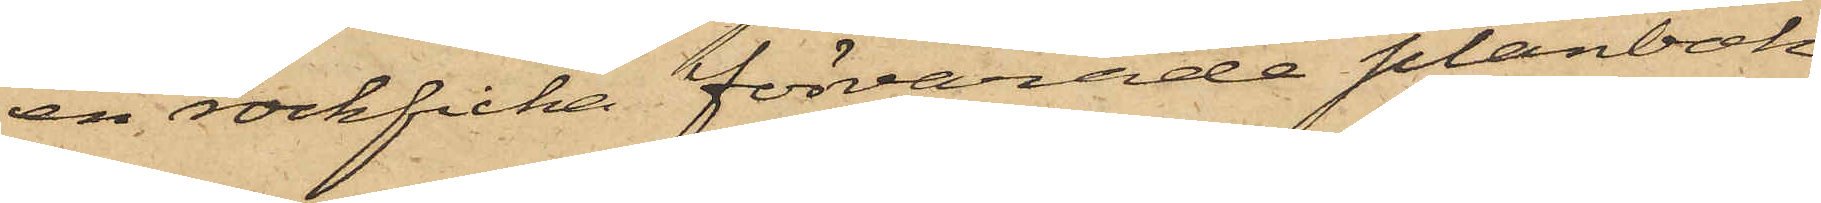en rockficka förvarade plånbok
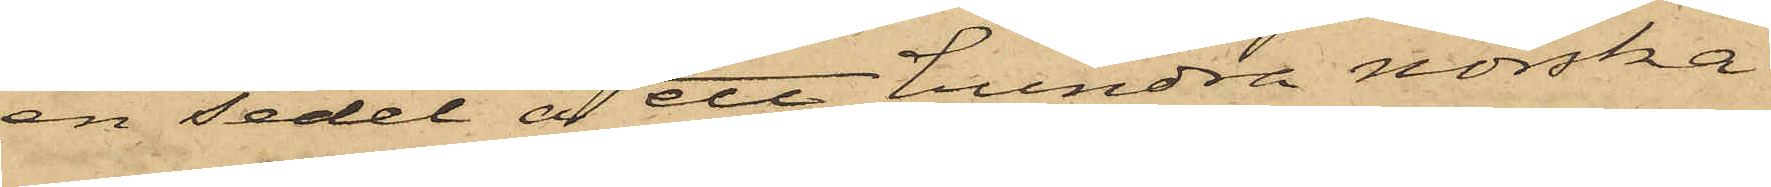en sedel å ett hundra norska
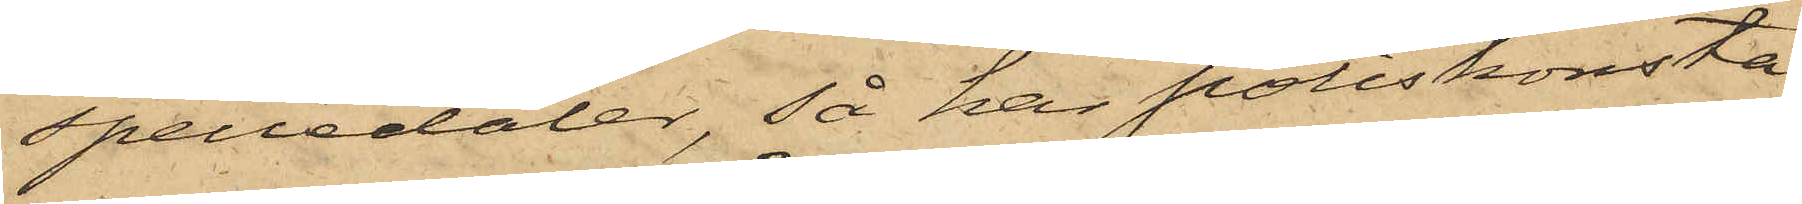speciedaler, så har poliskonsta¬
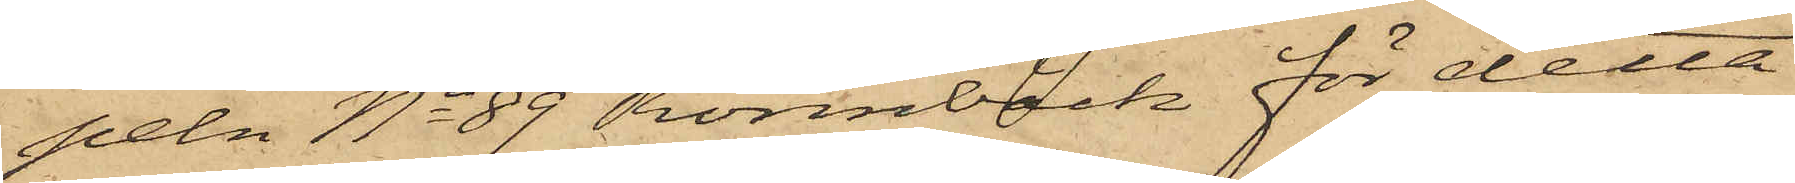peln No 89 Rönnbäck för detta
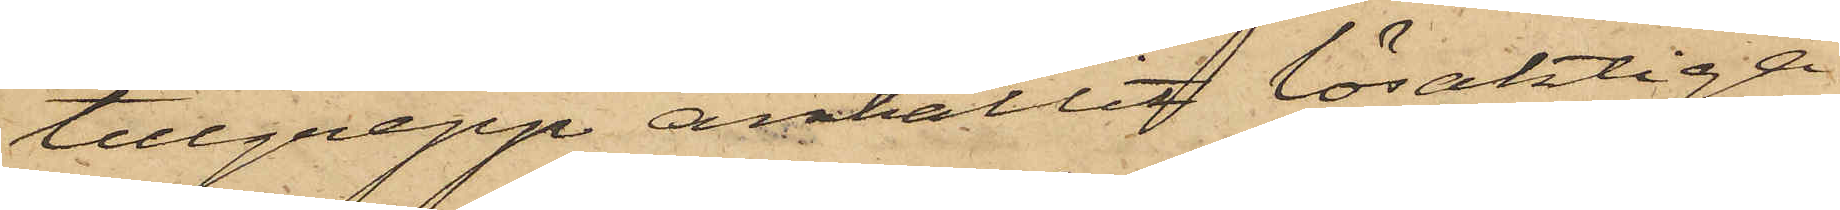tillgrepp anhållit lösaktiga
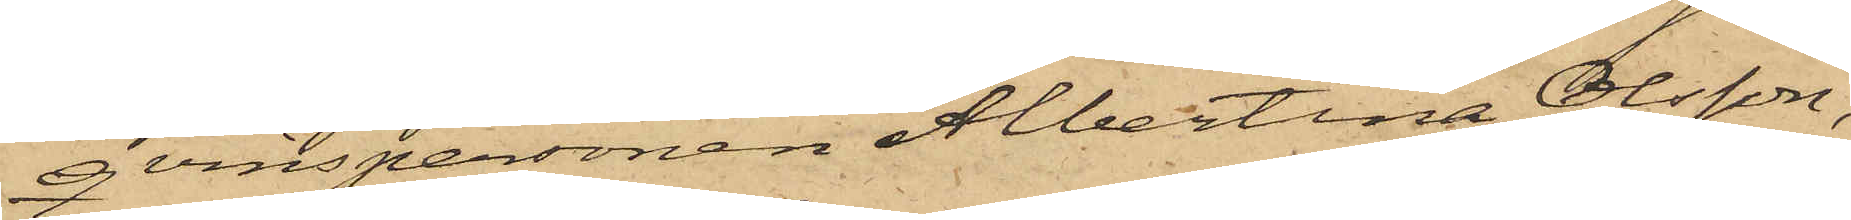qvinspersonen Albertina Olsson,
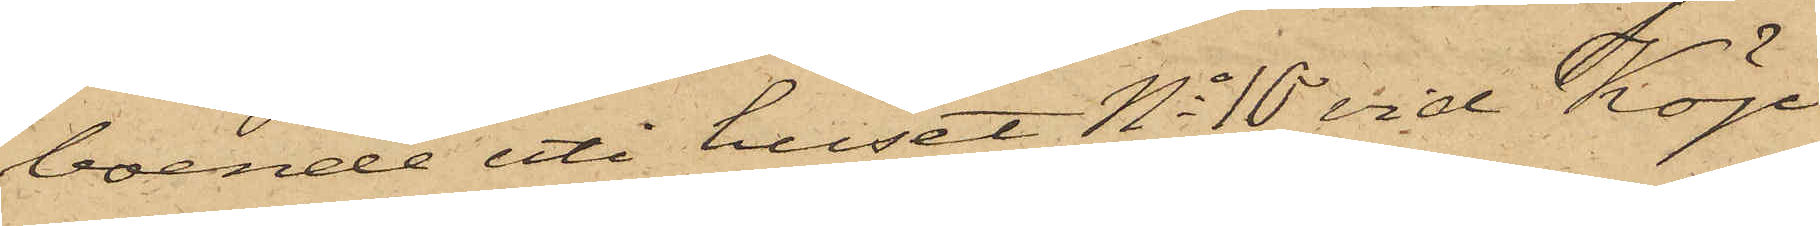boende uti huset No 10 vid Köp¬
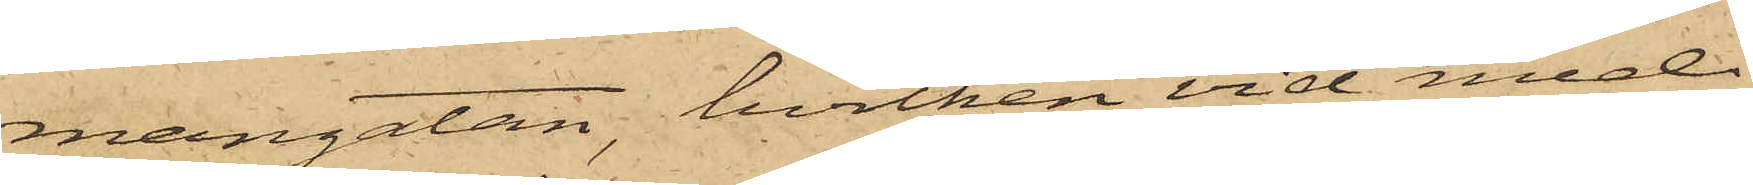mangatan, hvilken vid med
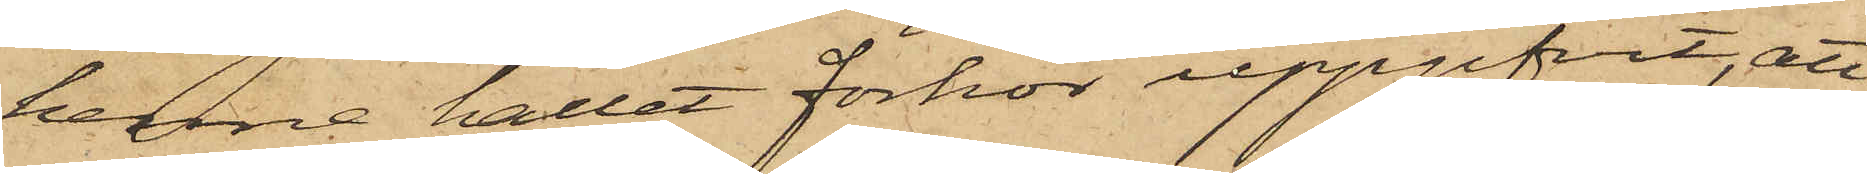henne hållet förhör uppgifvit, att
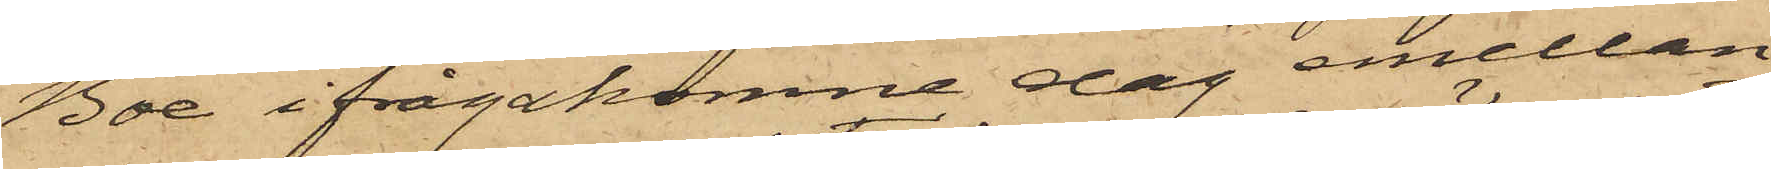Boe ifrågakomne dag emellan
